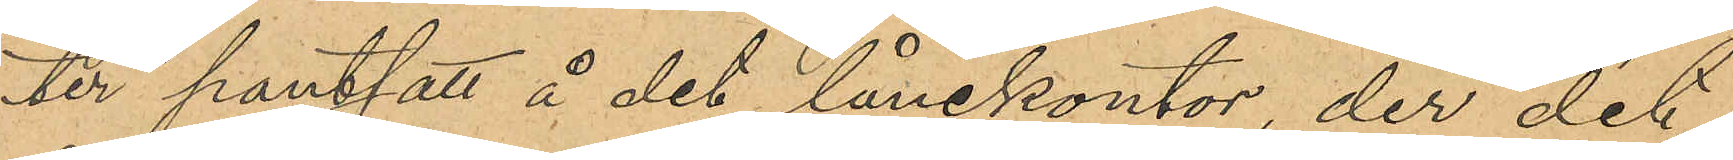ter pantsatt å det lånekontor, der det
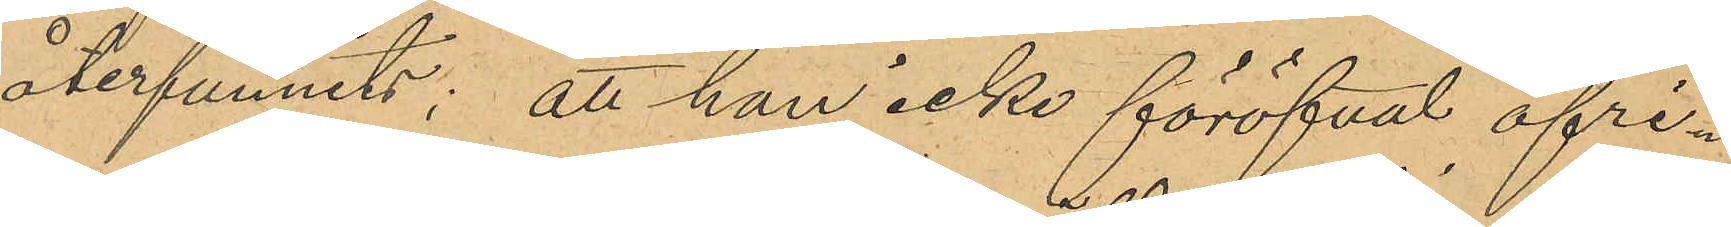återfunnits; att han icke föröfvat öfri¬
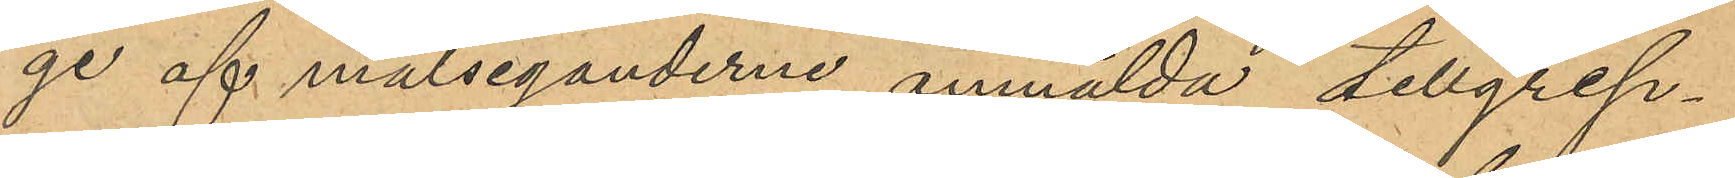ge af målseganderne anmälda tillgrep¬
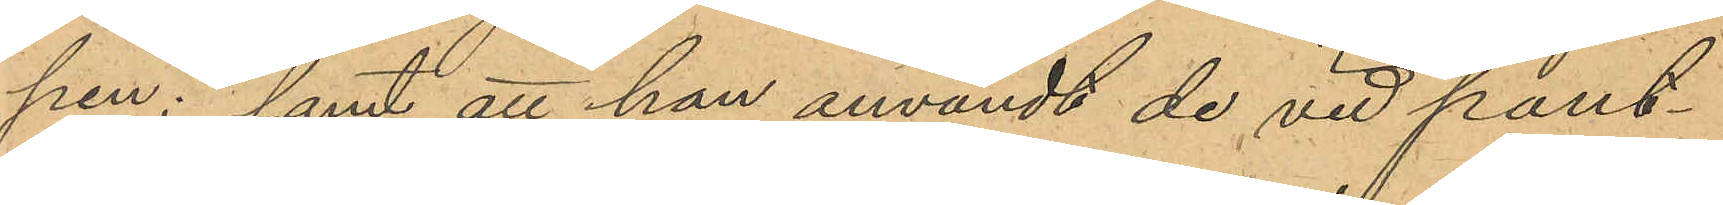pen; samt att han användt de vid pant¬
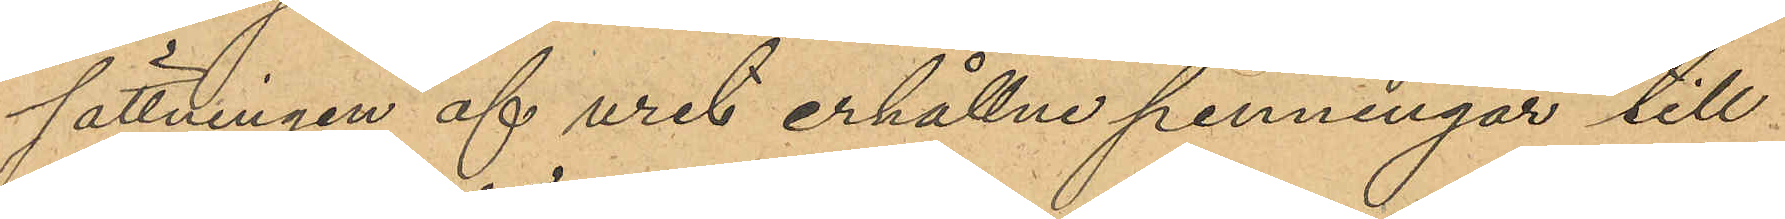sättningen af uret erhållne penningar till
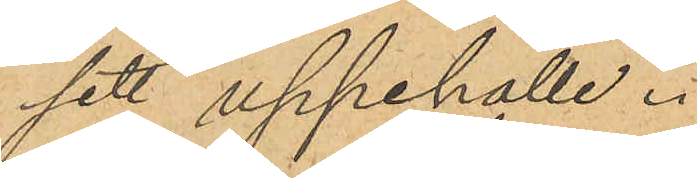sitt uppehälle.
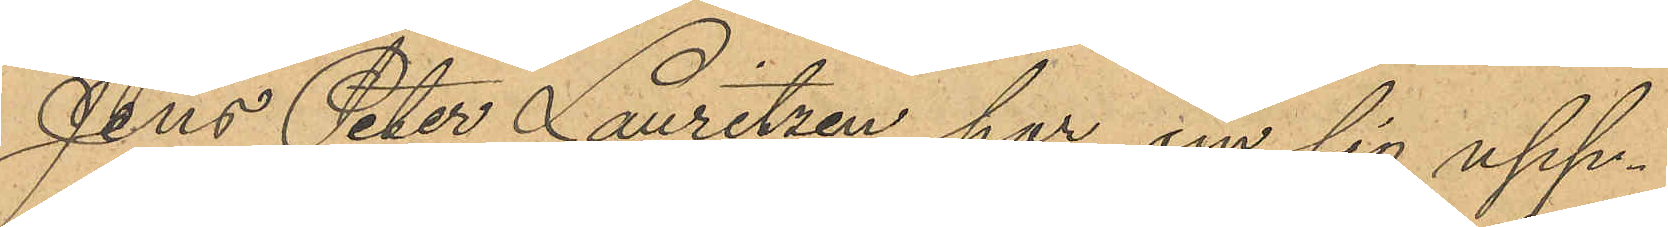Jens Peter Lauritzen har om sig upp¬
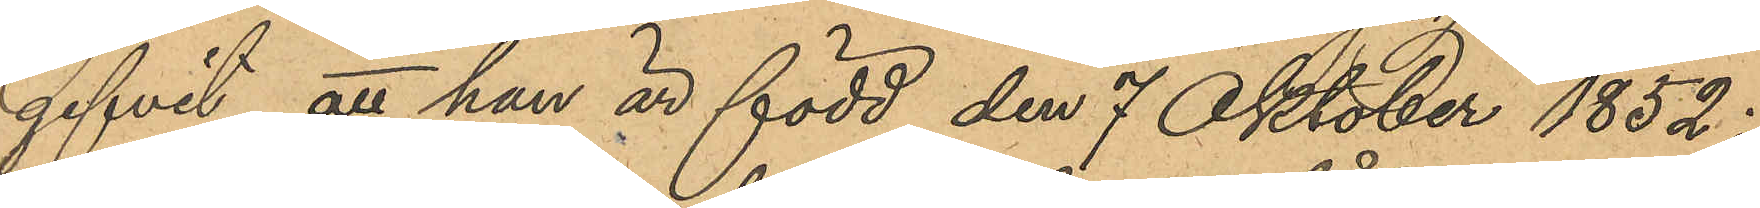gifvit, att han är född den 7 Oktober 1852 i
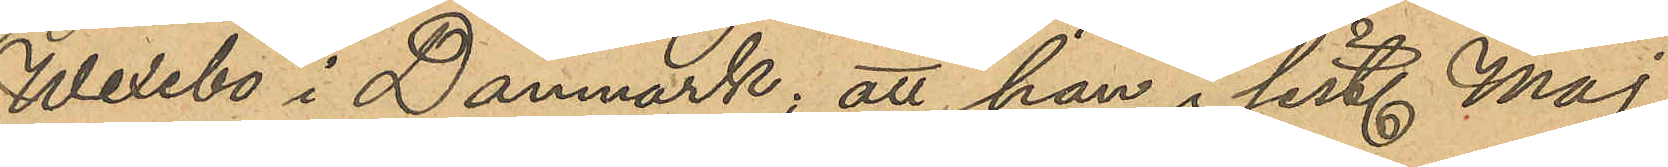Wexebo i Danmark, att han i sist. Maj
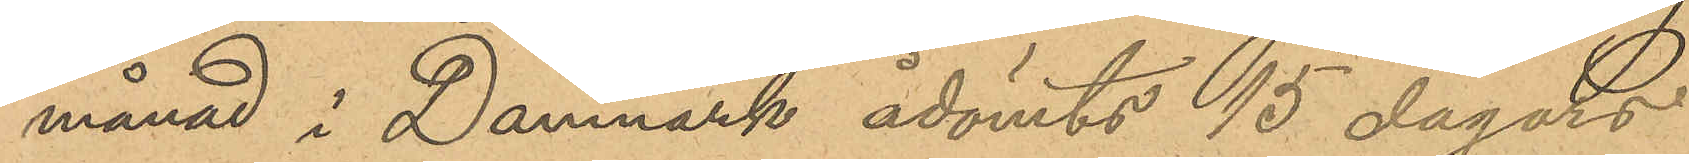månad i Danmark ådömts 15 dagars
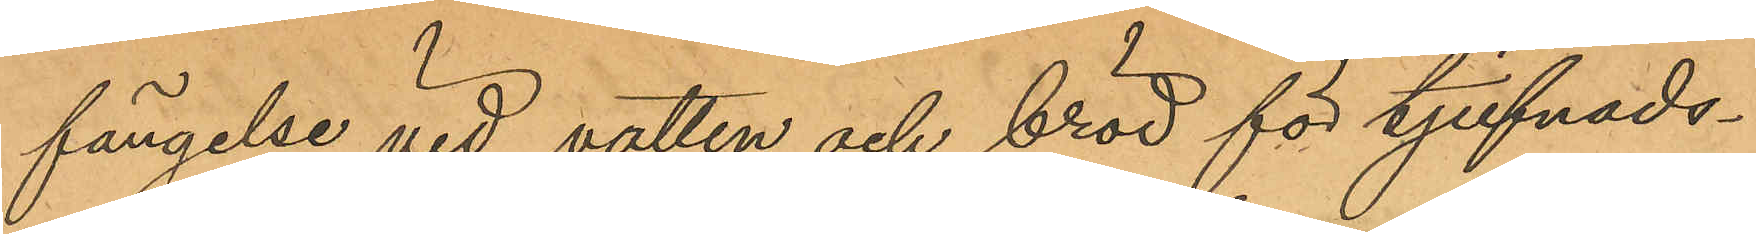fängelse vid vatten och bröd för tjufnads¬
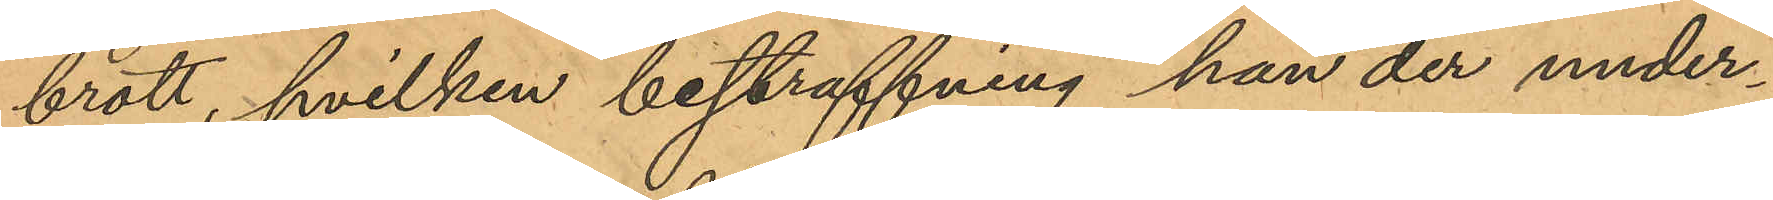brott, hvilken bestraffning han der under¬
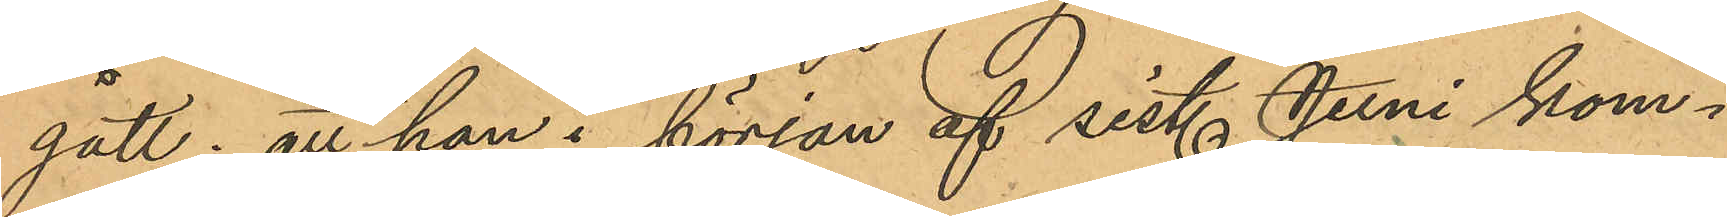gått; att han i början af sist. Juni kom¬
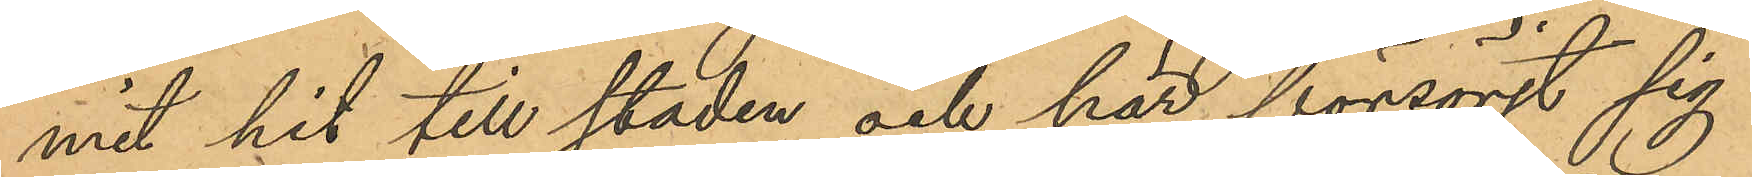mit hit till staden och här försörjt sig
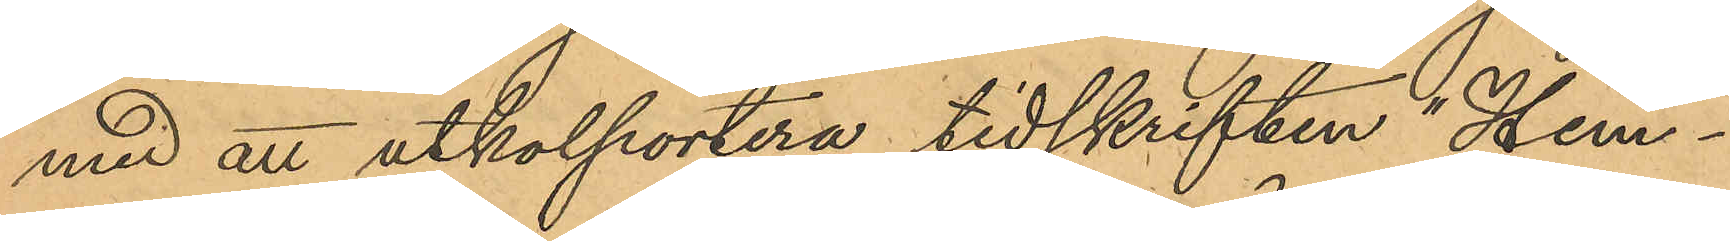med att utkolportera tidskriften "Hem¬
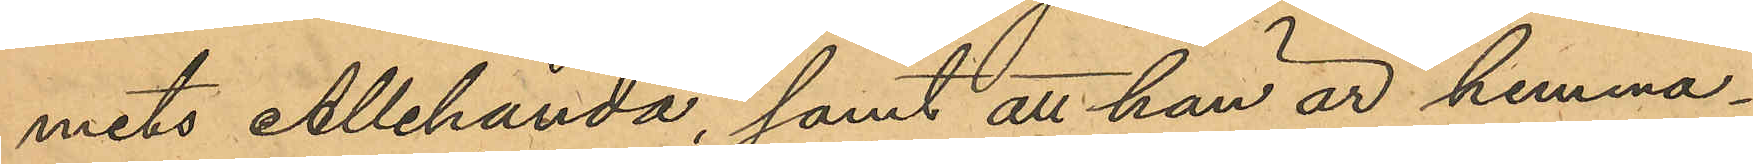mets Allehanda", samt att han är hemma¬
